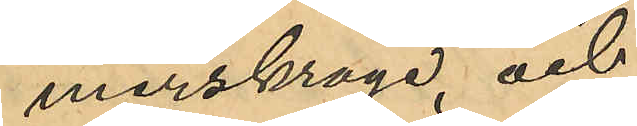merskrage, och
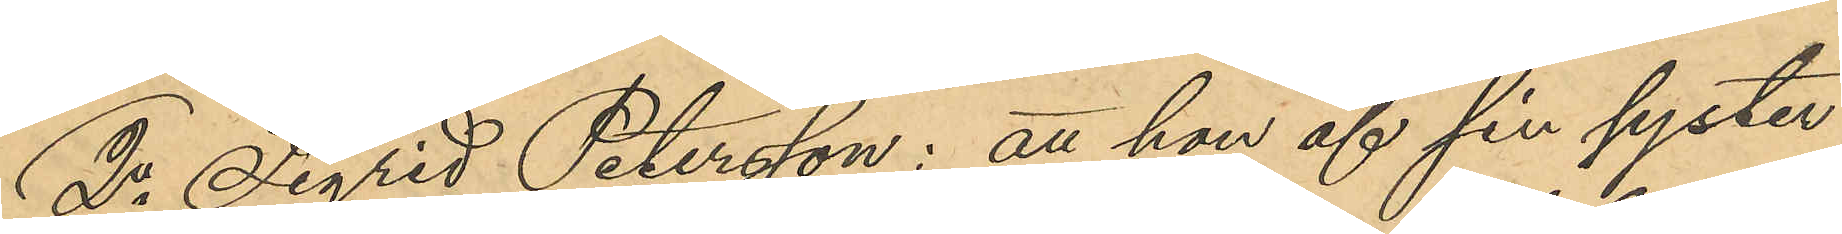2o Sigrid Petersson: att hon af sin syster
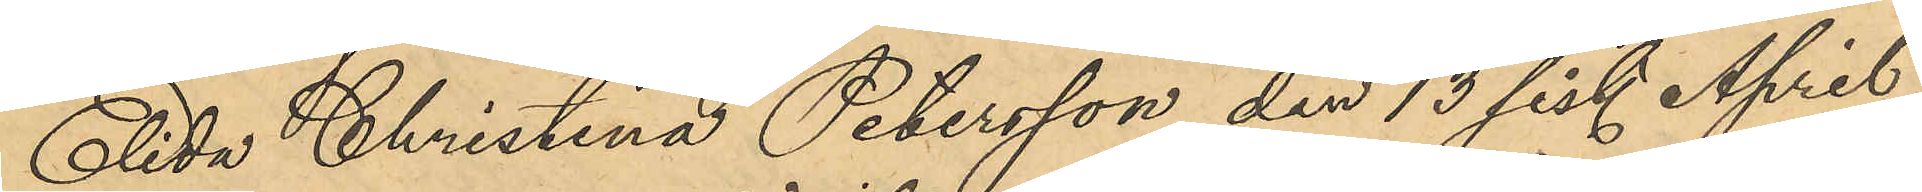Elida Christina Petersson den 13 sist. April
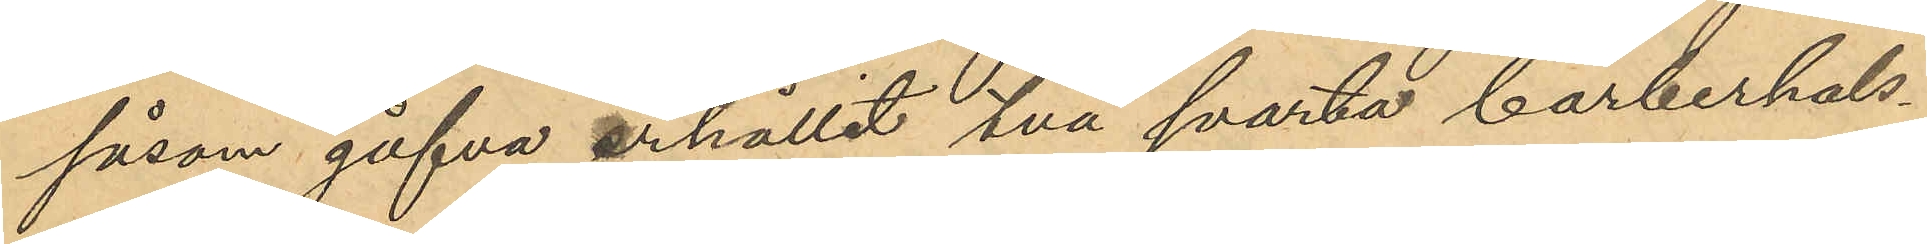såsom gåfva erhållit två svarta barberhals¬
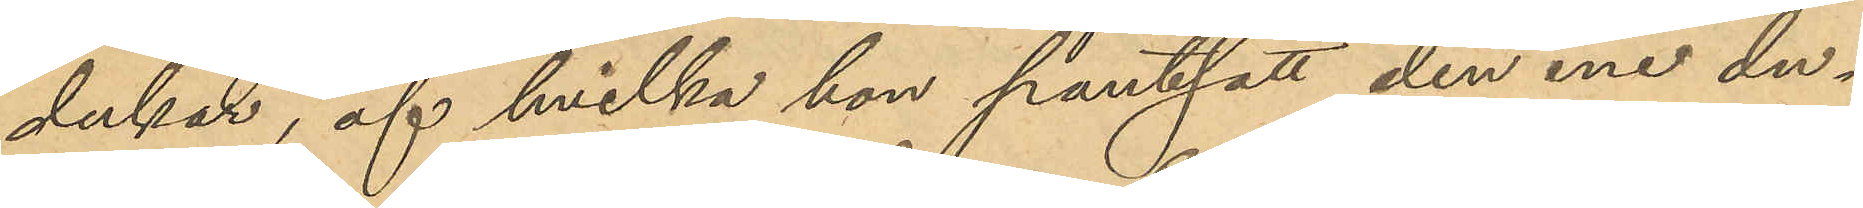dukar, af hvilka hon pantsatt den ene du¬
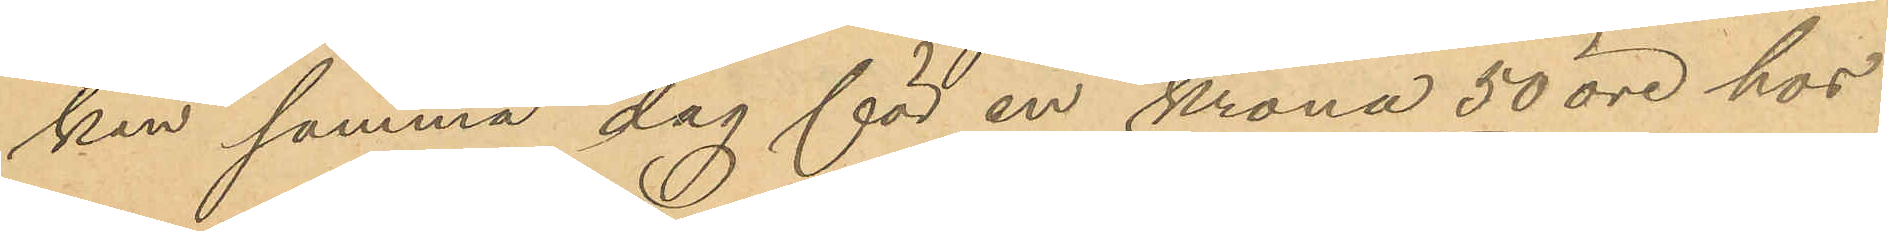ken samma dag för en krona 50 öre hos
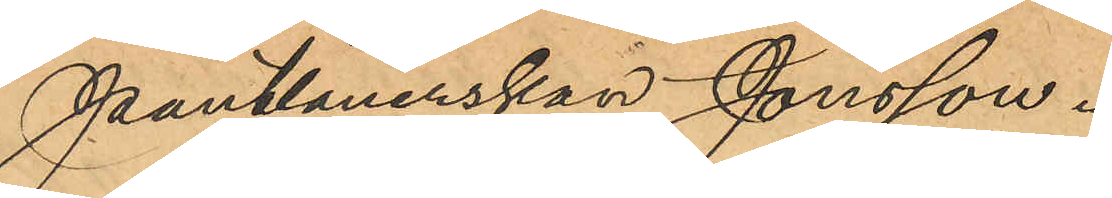Pantlånerskan Jonsson.
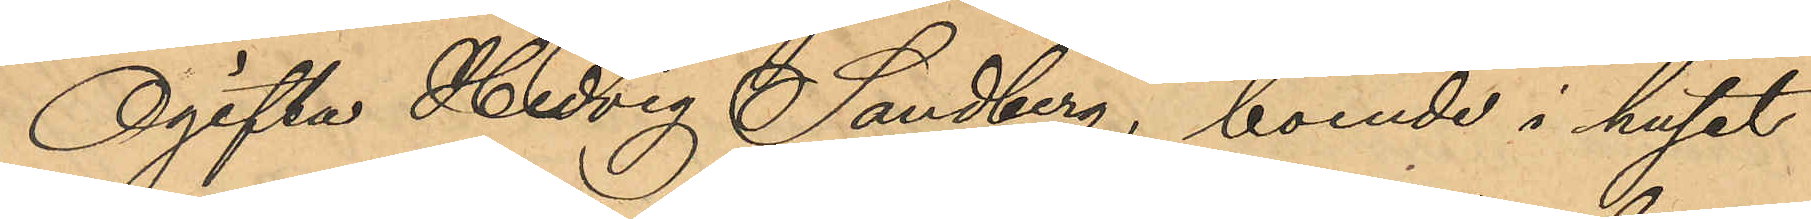Ogifta Hedvig Sandberg, boende i huset
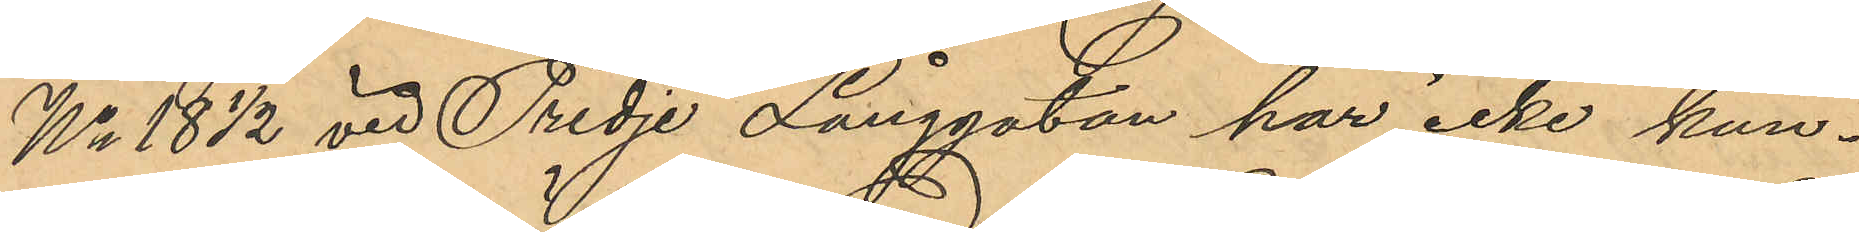No 18 ½ vid Tredje Långgatan har icke kun¬
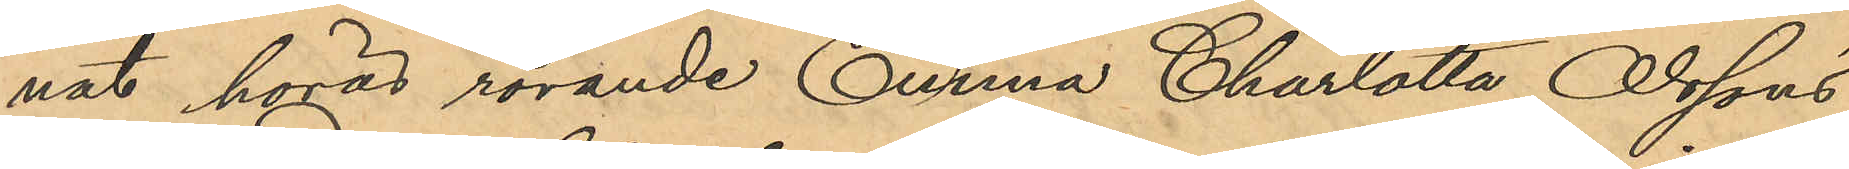nat höras rörande Emrma Charlotta Olssons
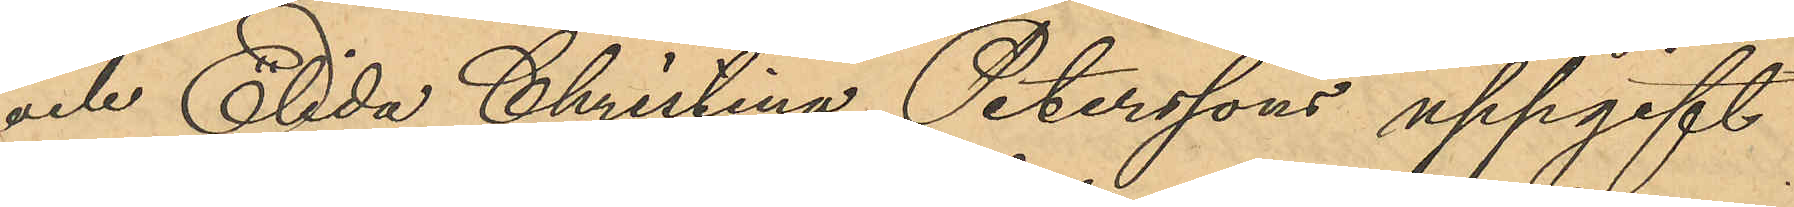och Elida Christina Peterssons uppgift
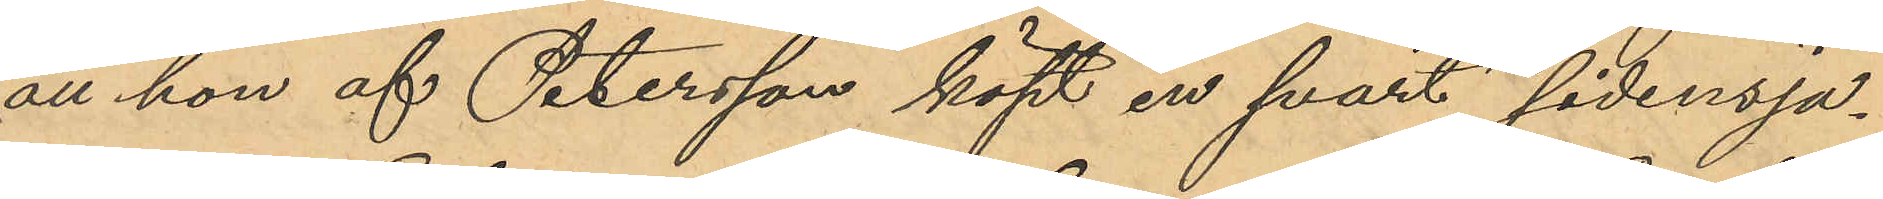att hon af Petersson köpt en svart sidensja¬
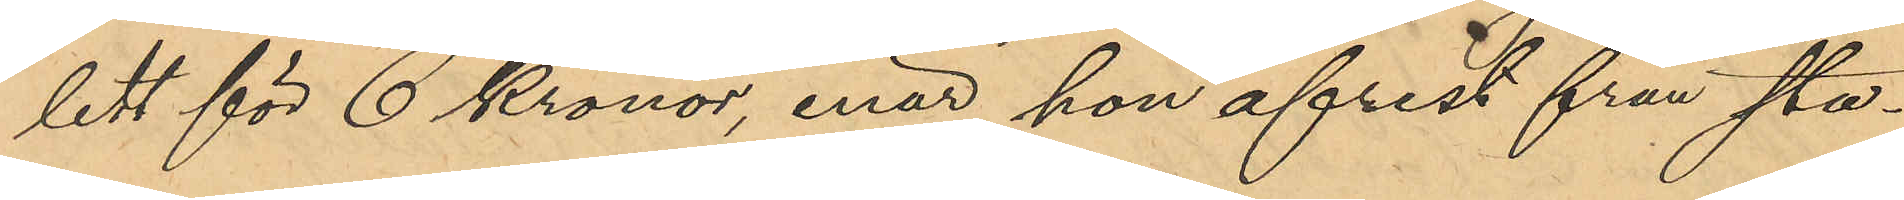lett för 6 Kronor, enär hon afrest från sta¬
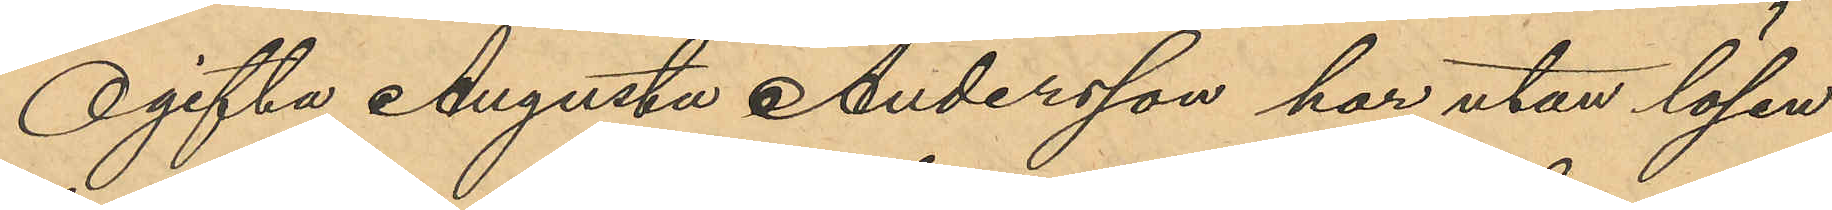Ogifta Augusta Andersson har utan lösen
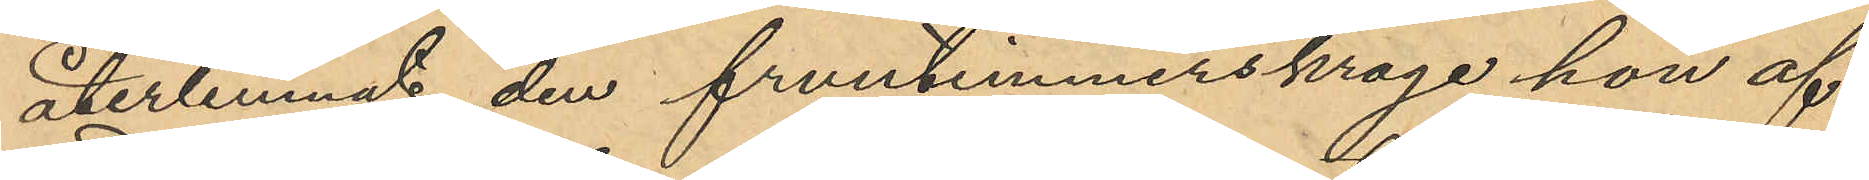återlemnat den fruntimmerskrage hon af
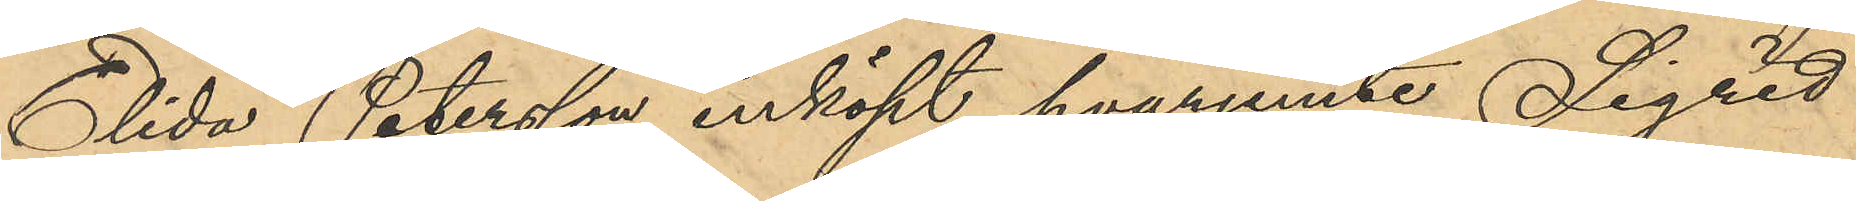Elida Petersson inköpt hvarjemte Sigrid
